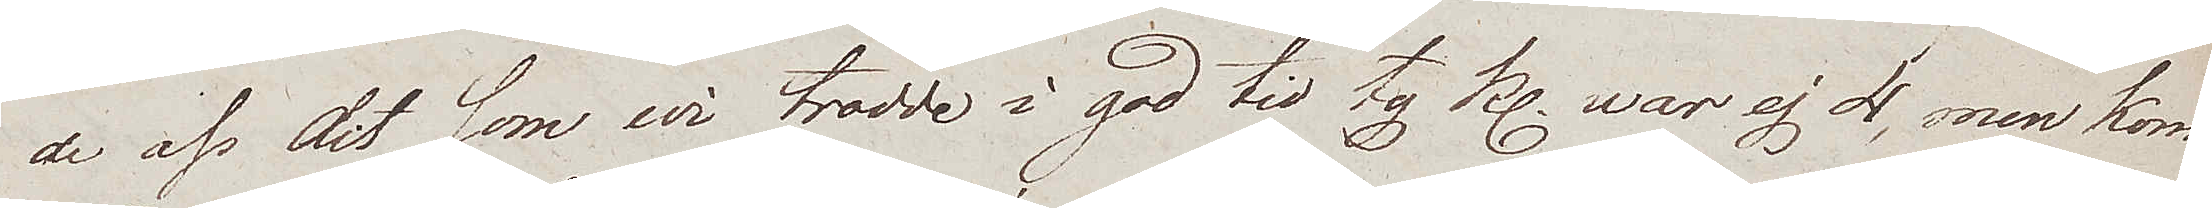de oss dit, som wi trodde i god tid ty Kl. war ej 4, men kom¬
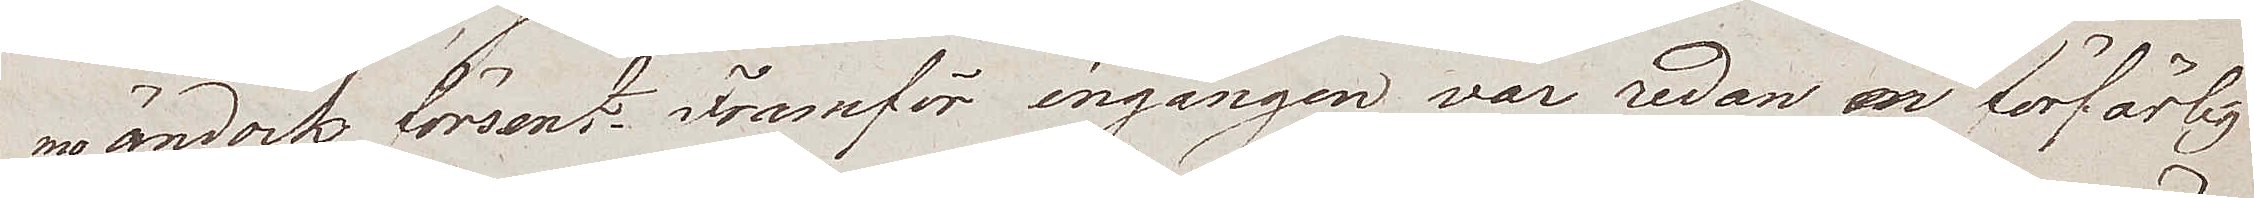mo ändock försent. Framför ingången var redan en förfärlig
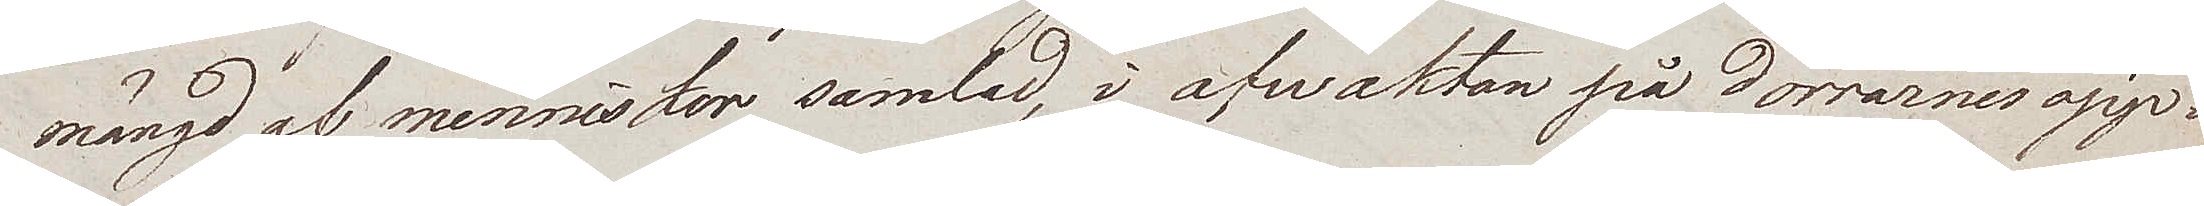mängd af menniskor samlad, i afwaktan på Dörrarnes öpp¬
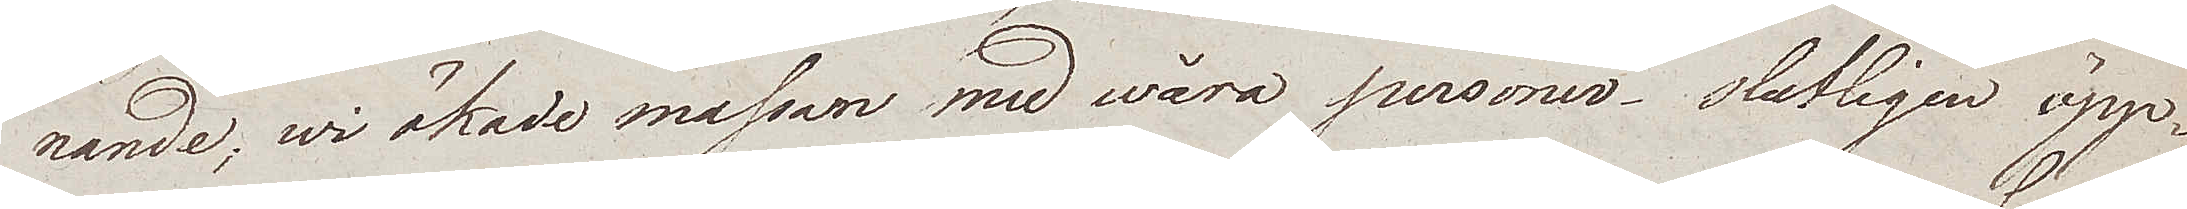nande, wi ökade massan med våra personer. Slutligen öpp¬
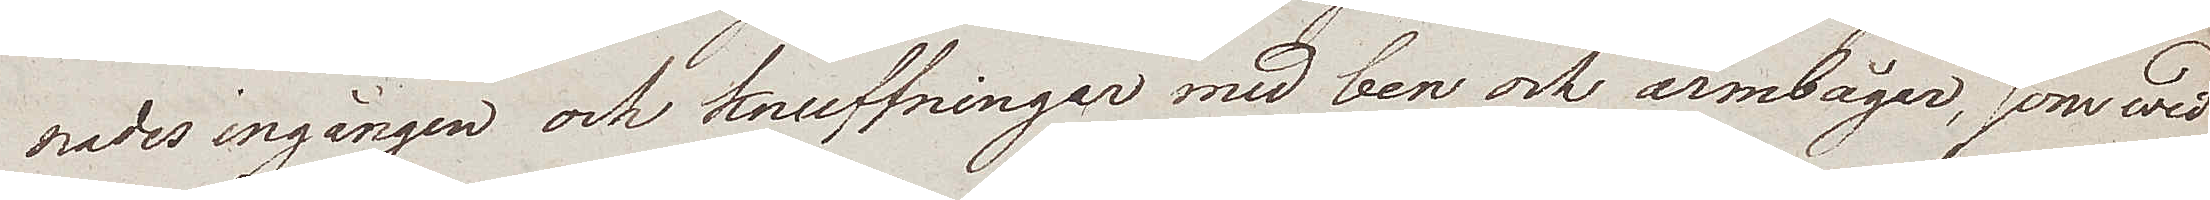nades ingången och knuffningar med ben och armbågar, som wid
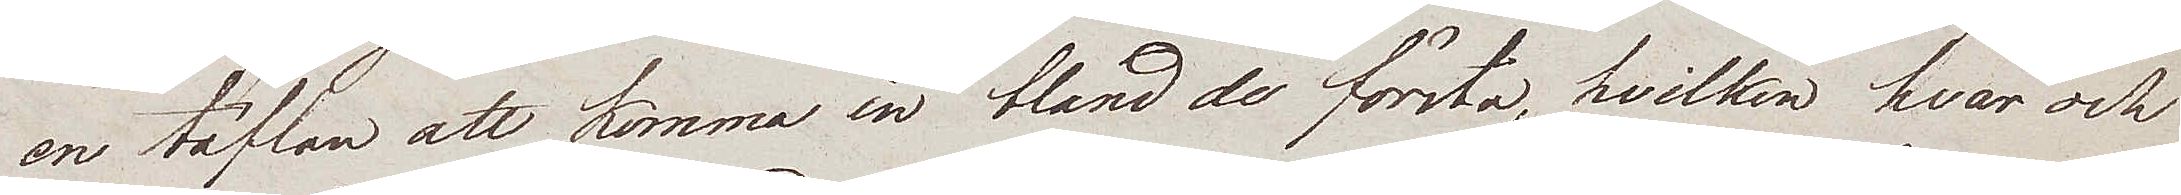en täflan att komma in bland de första, hvilken hvar och
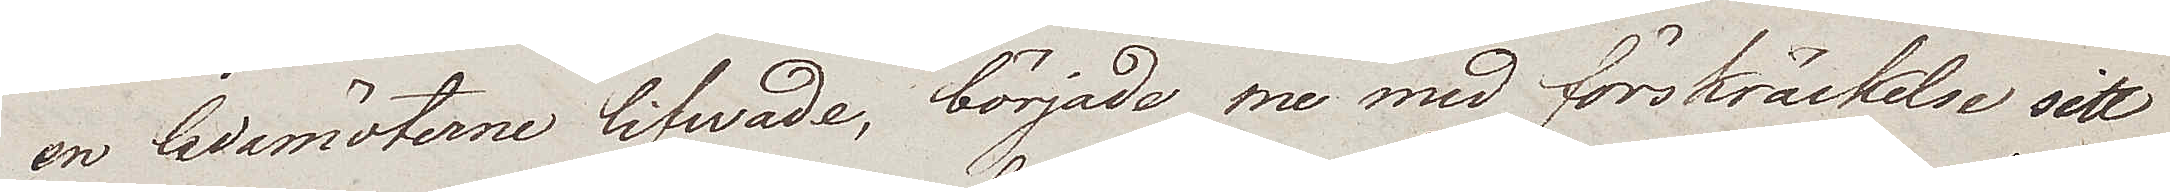en ledamöterne lifwade, började nu med förskräckelse sitt
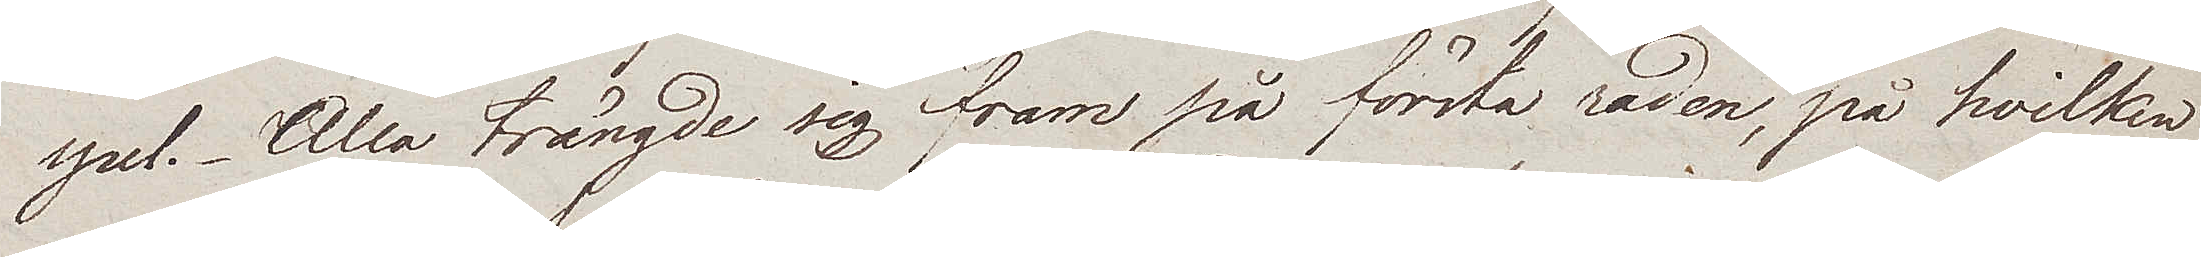spel. Alla trängde sig fram på första raden, på hvilken
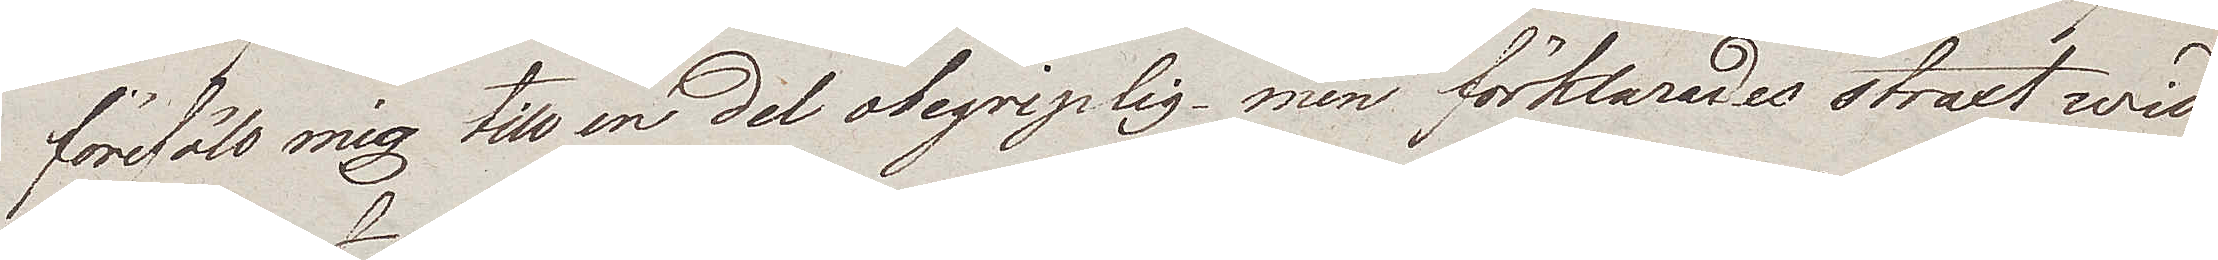förefölo mig till en del obegriplig, men förklarades straxt wid
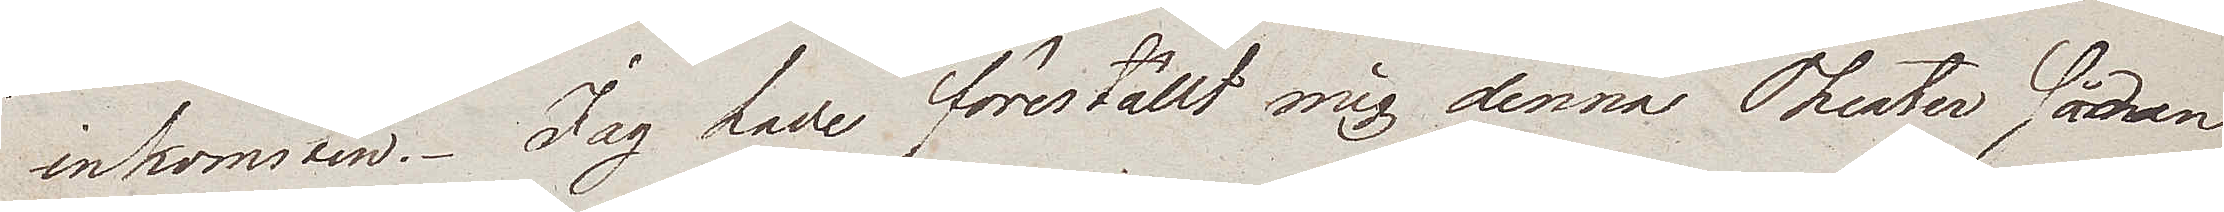inkomsten. Jag hade förställt mig denna Theater sådan
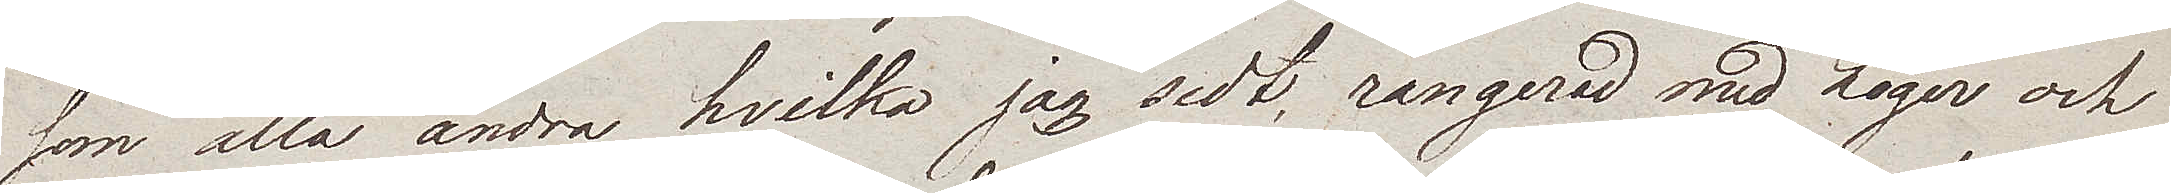som alla andra hvilka jag sedt, rangerad med loger och
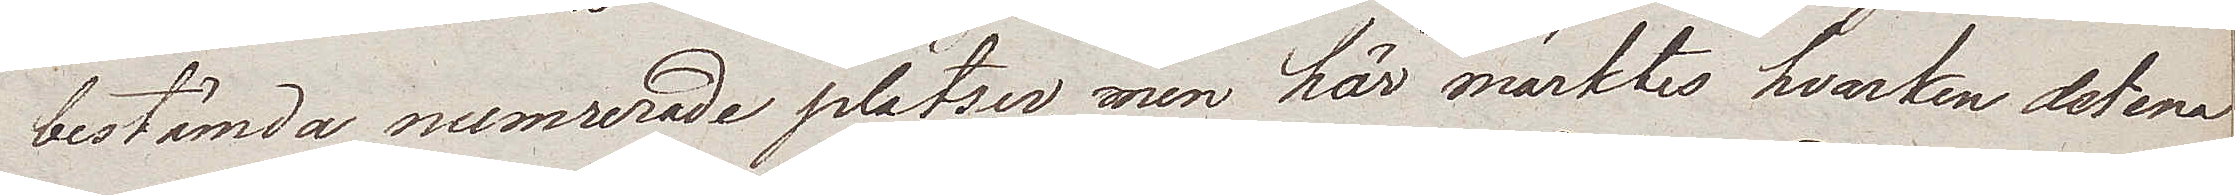bestämda numrerade platser, men här märktes hvarken det ena
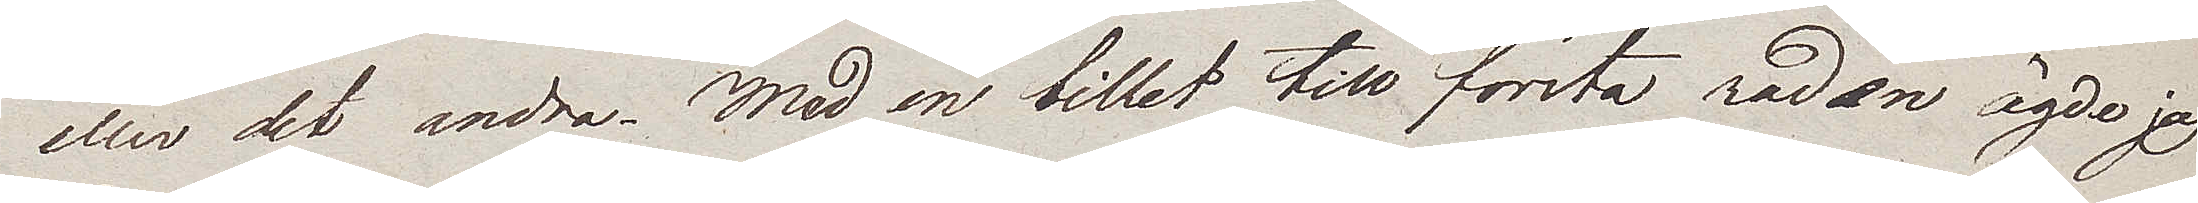eller det andra. Med en billet till första raden ägde jag
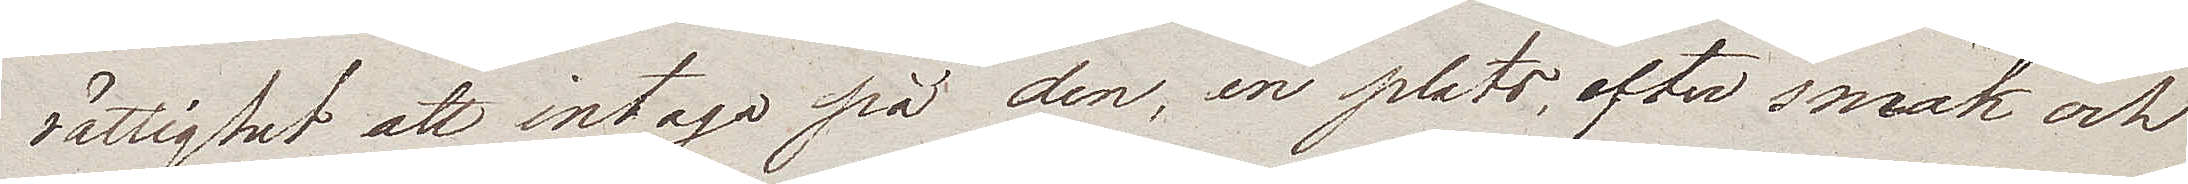rättighet att intaga på den, en plats efter smak och
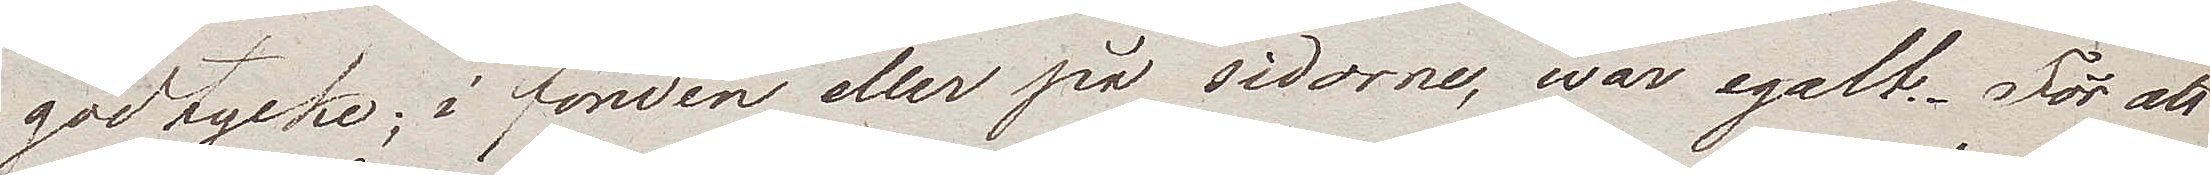godtycke; i fonden eller på sidorne, war egalt. För att
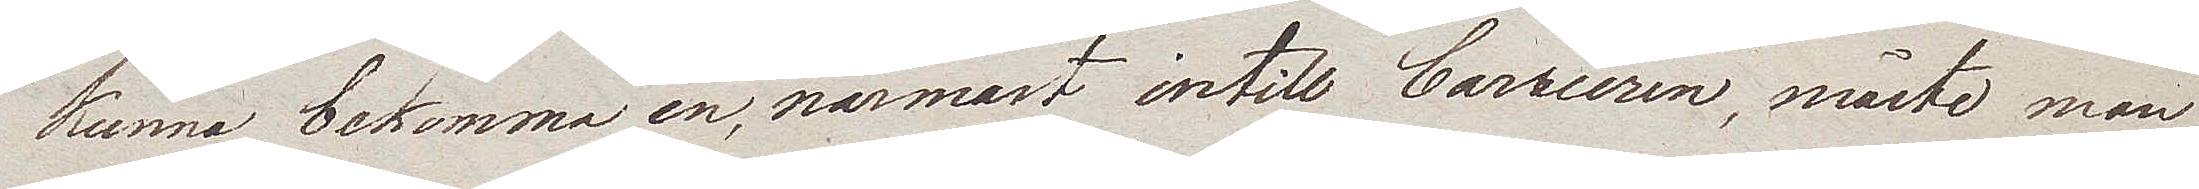kunna bekomma en, närmast intill barrièren, måste man
